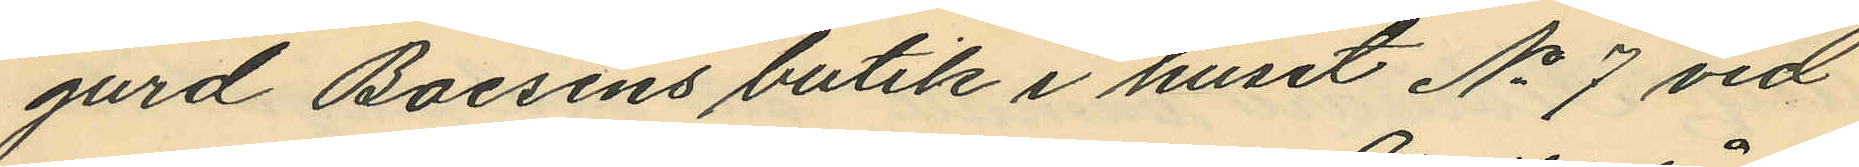gurd Boesens butik i huset No 7 vid
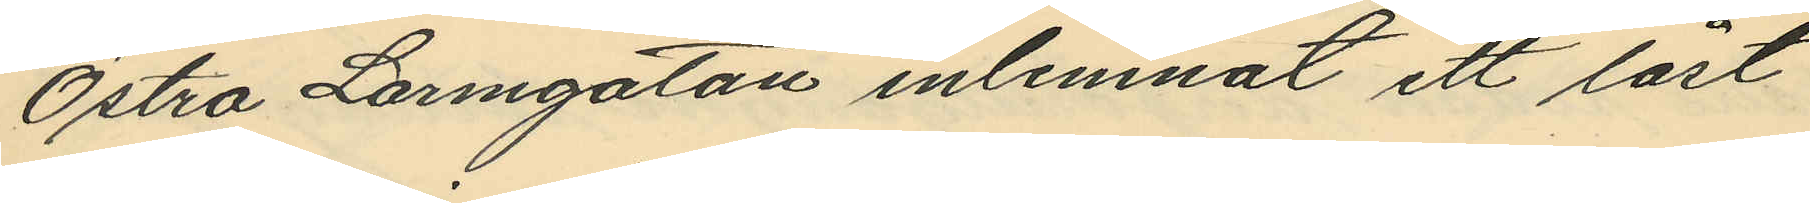Östra Larmgatan inlemnat ett låst
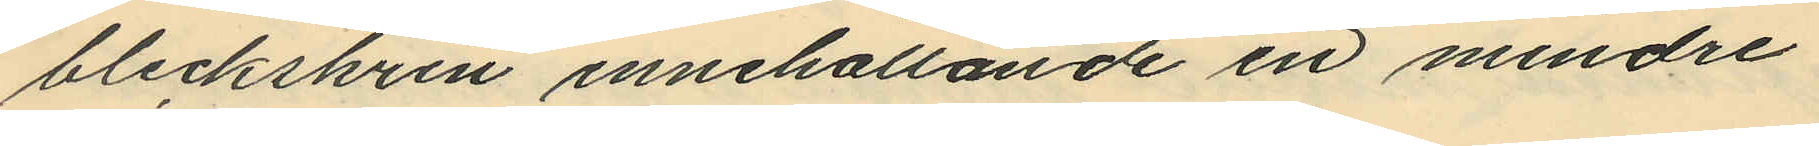bleckskrin innehållande en mindre
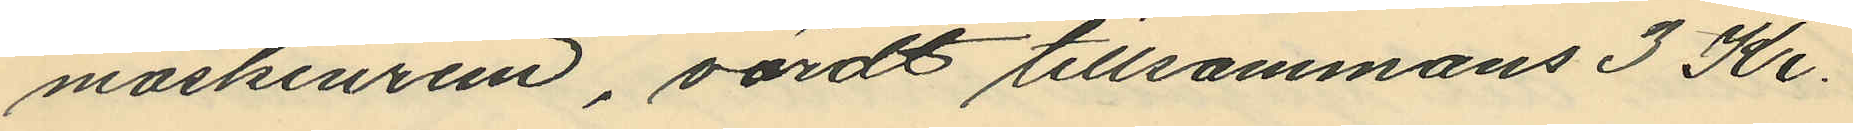maskinrem, värdt tillsammans 3 Kr.
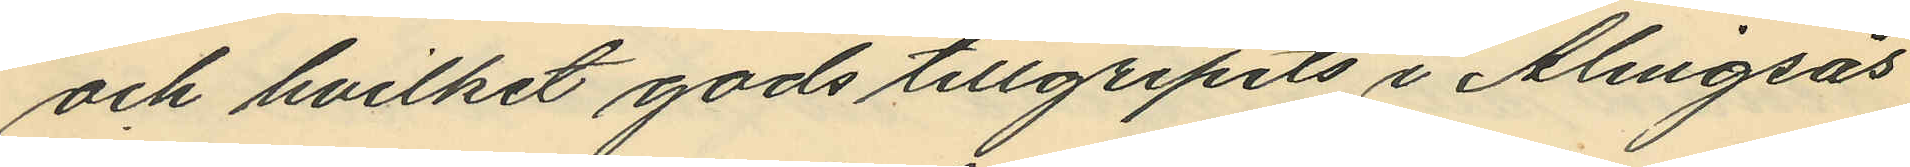och hvilket gods tillgripits i Alingsås
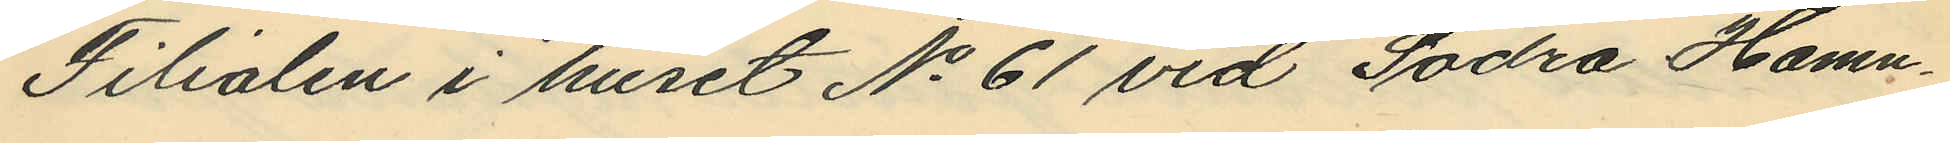Filialen i huset No 61 vid Sodra Hamn¬
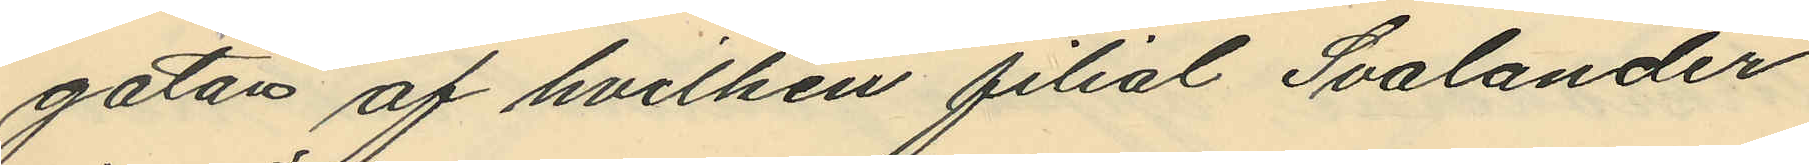gatan af hvilken filial Svalander
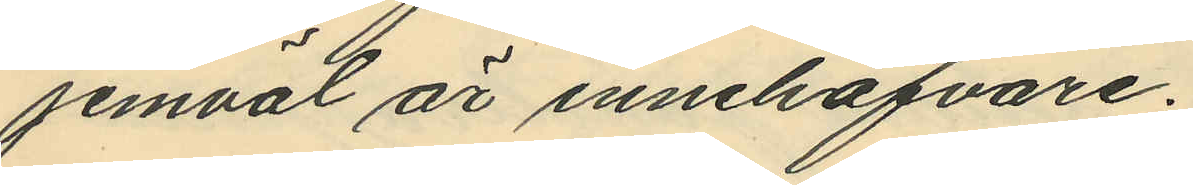jemväl är innehafvare.
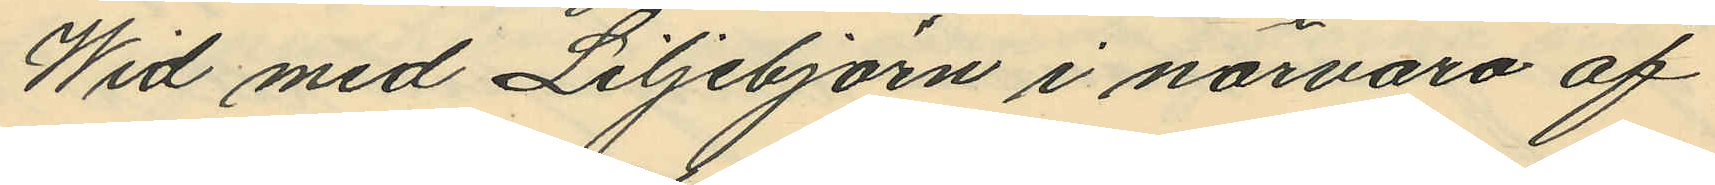Wid med Liljebjörn i närvaro af
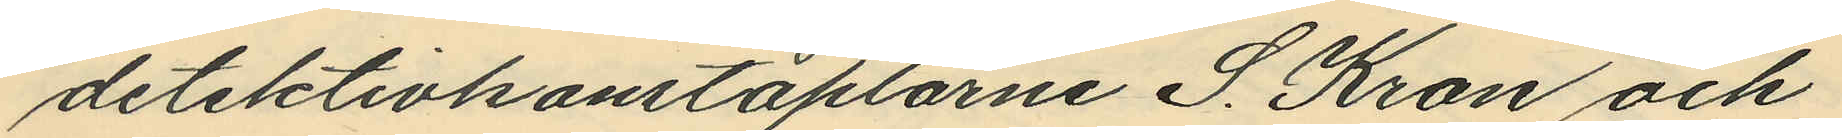detektivkonstaplarne S. Kron och
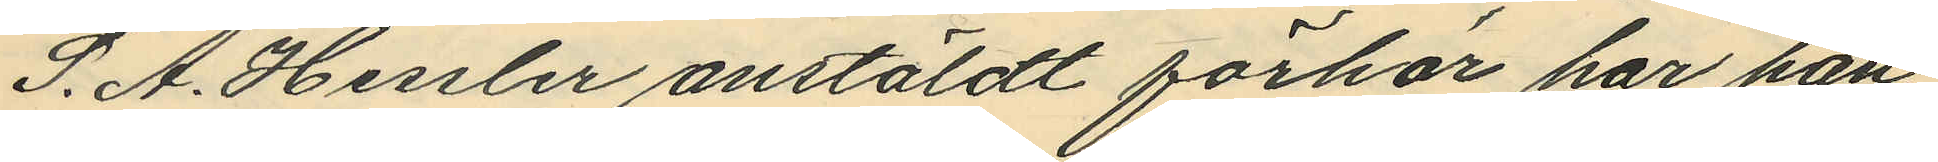S. A. Hessler anstäldt förhör har han
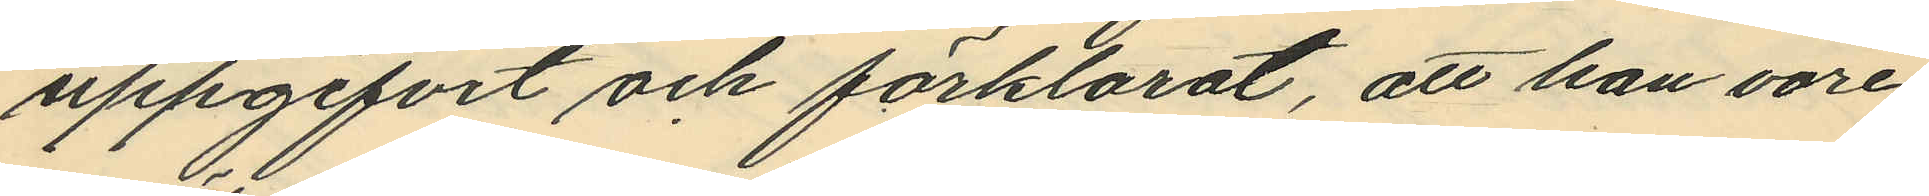uppgifvit och förklarat, att han vore
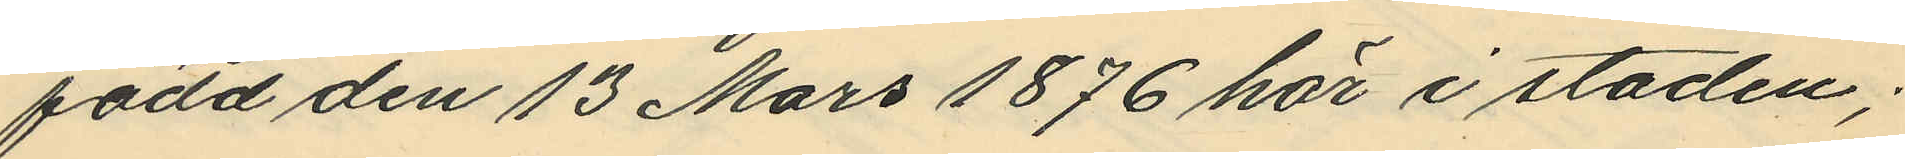född den 13 Mars 1876 här i staden;
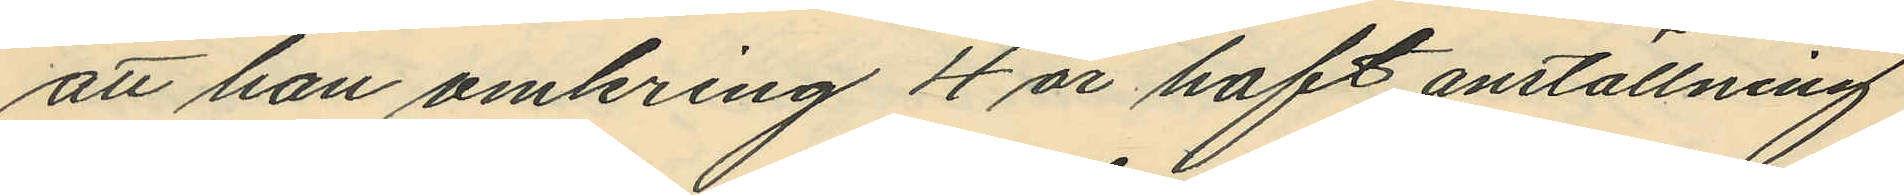att han omkring 4 år haft anställning
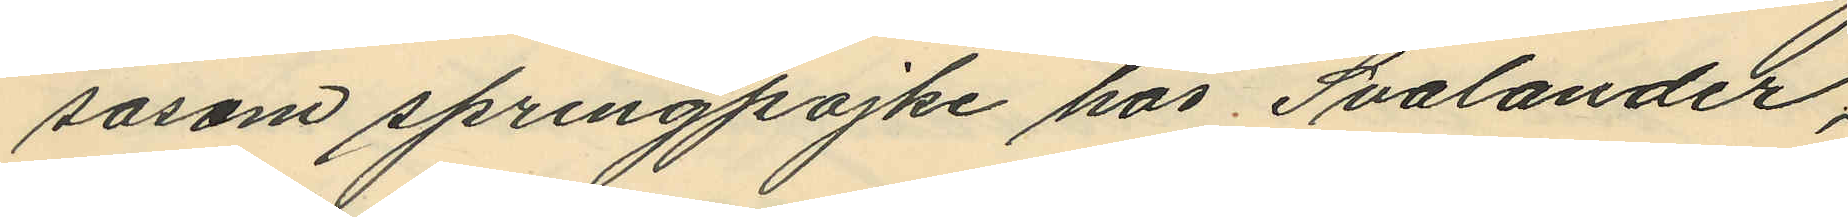sasom springpojke hos Svalander,
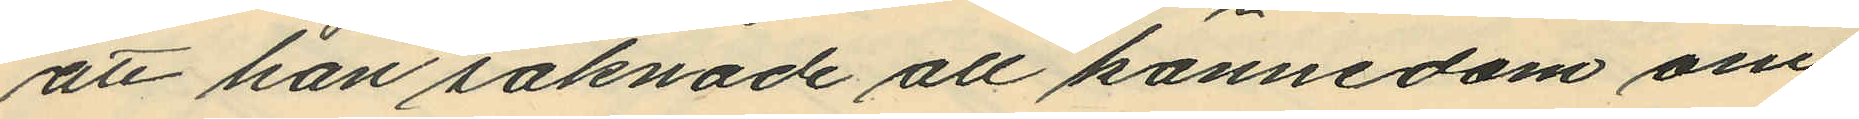att han saknade all kännedom om
